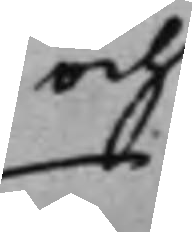och
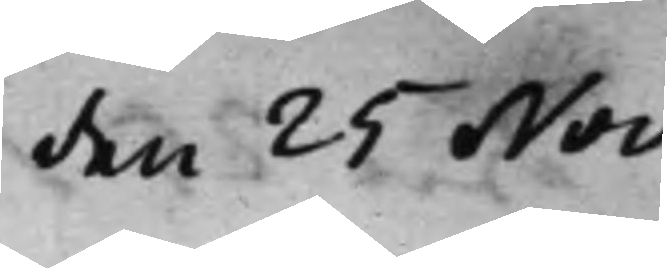den 25 Nov.
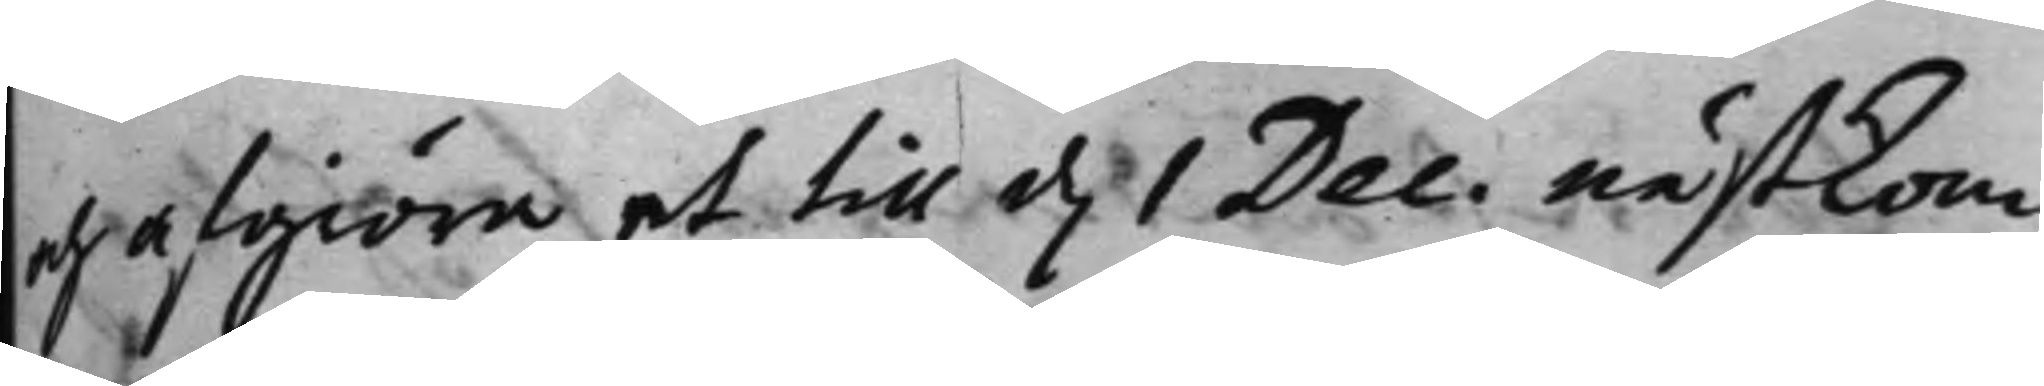och afgiöra at till d. 1 Dec: nästkom¬
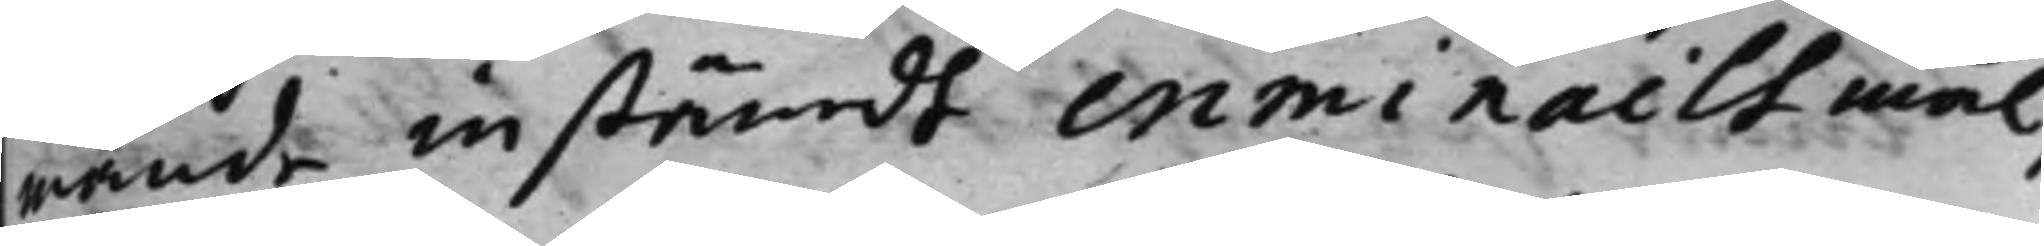mande instämdt criminailt mål,
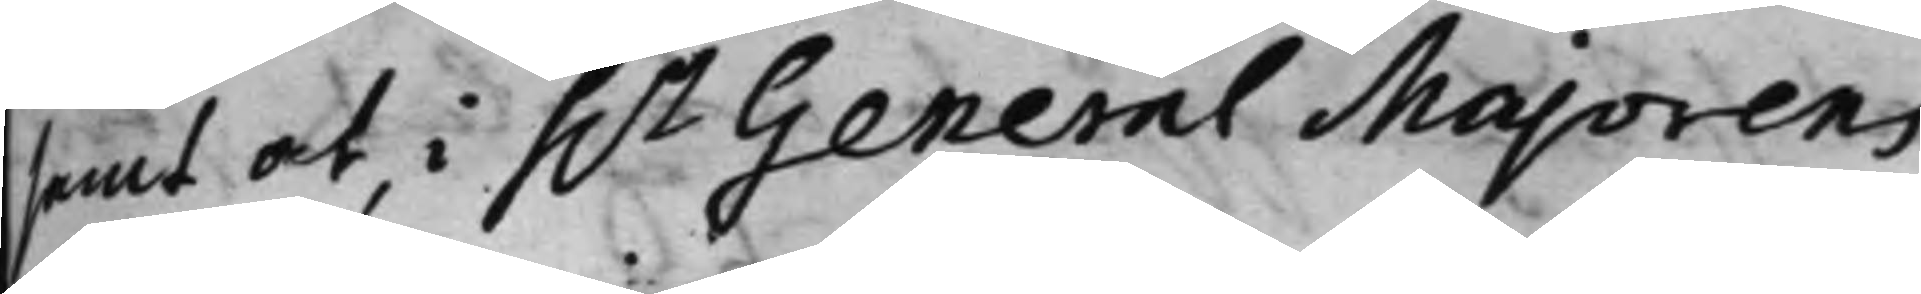samt at, i h.r General Majorens
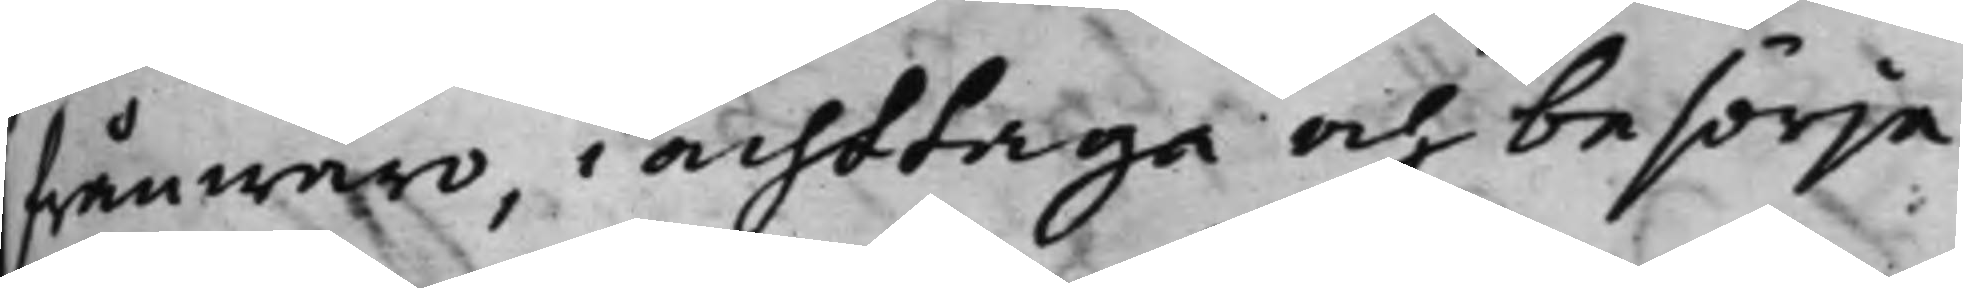frånwaro i achttaga och besörja
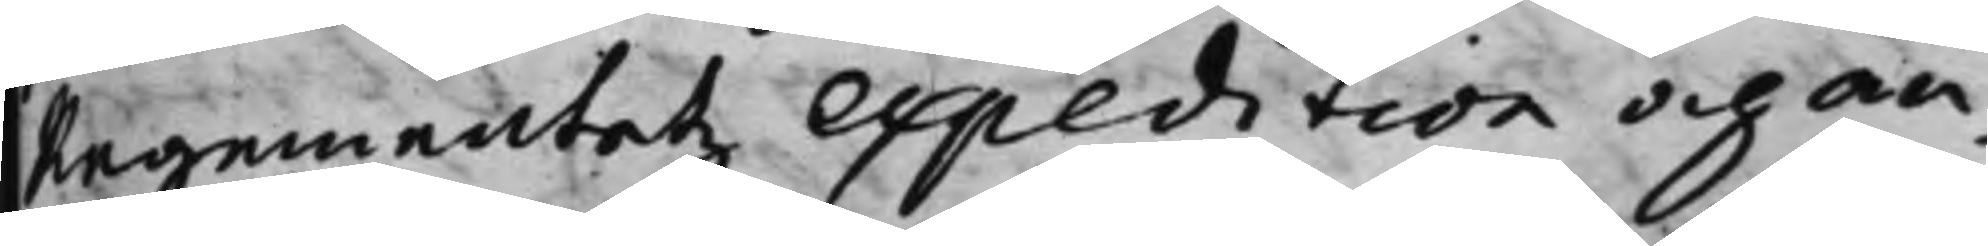Regementetz expedition och an¬
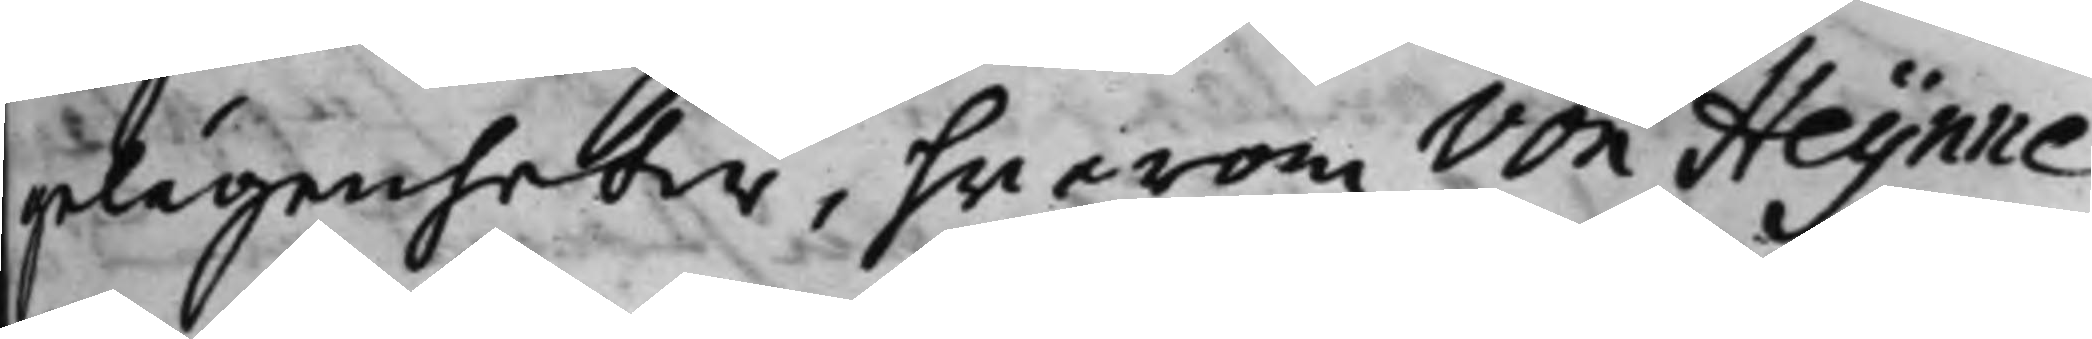gelägenheter, hwarom von Heijnne
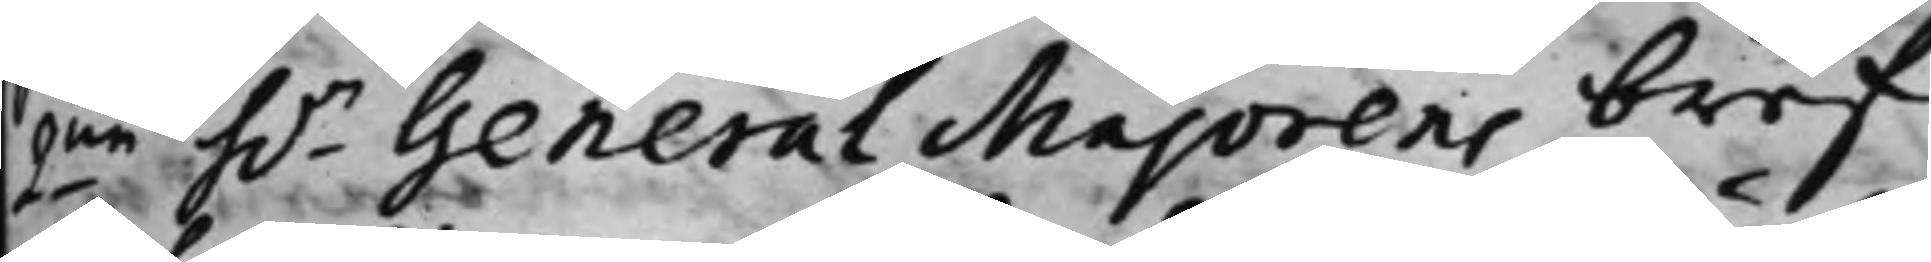2ne h.r General Majorens bref
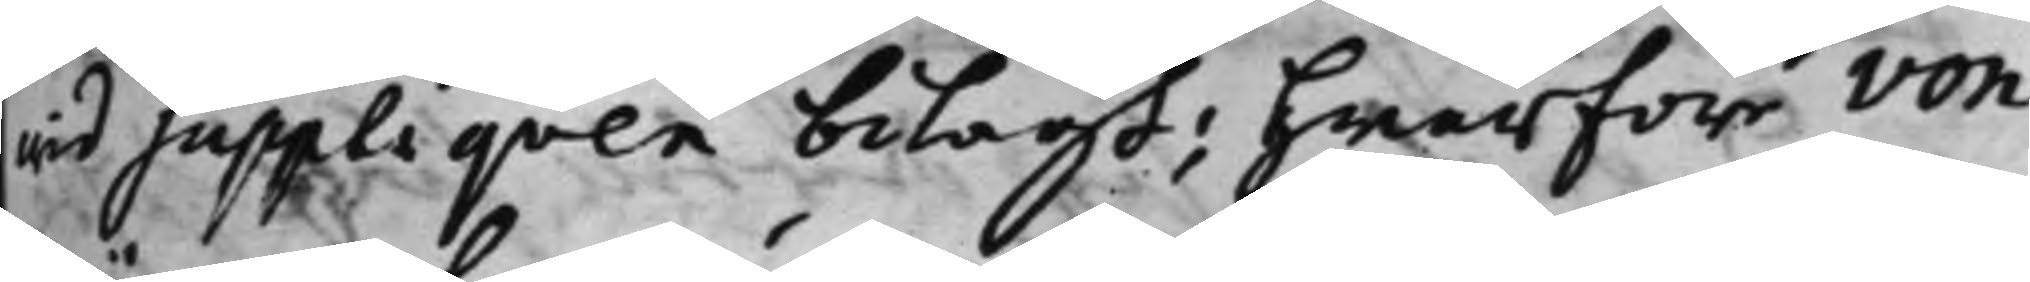wid suppliqven bilagt; Hwarföre von
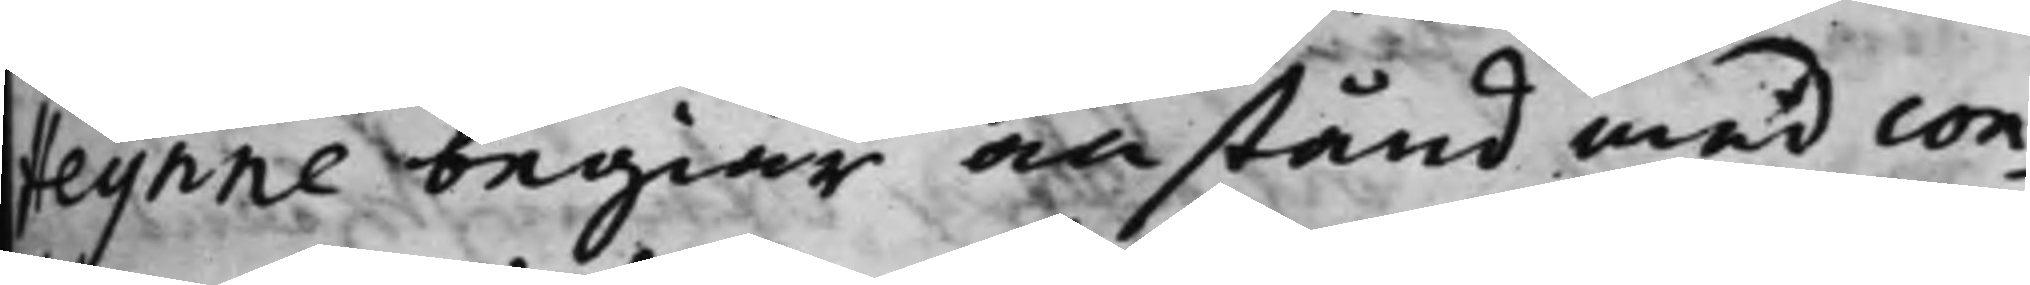Heijnne begiär anstånd med con¬
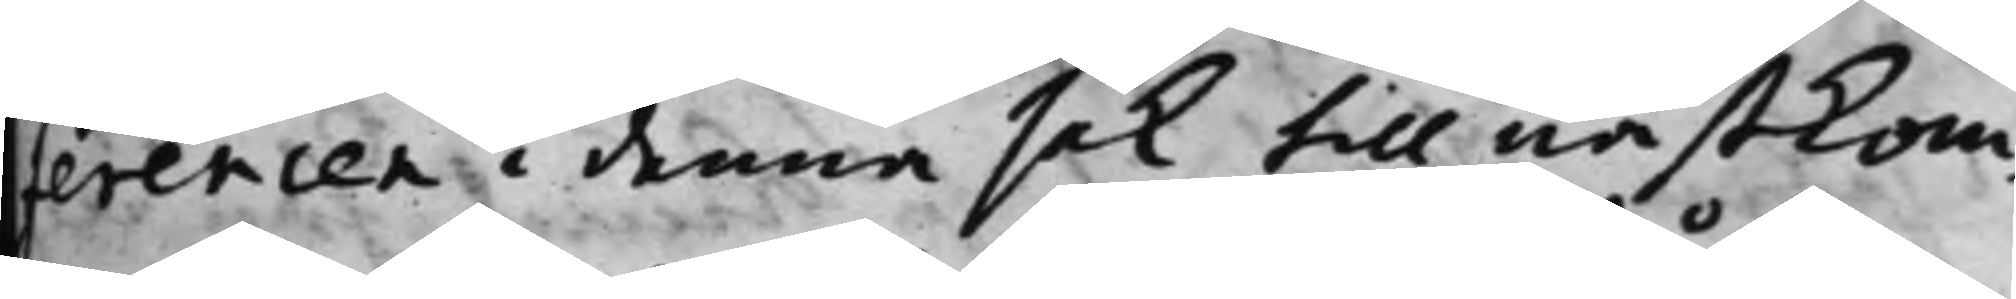ferencen i denna sak till nästkom¬
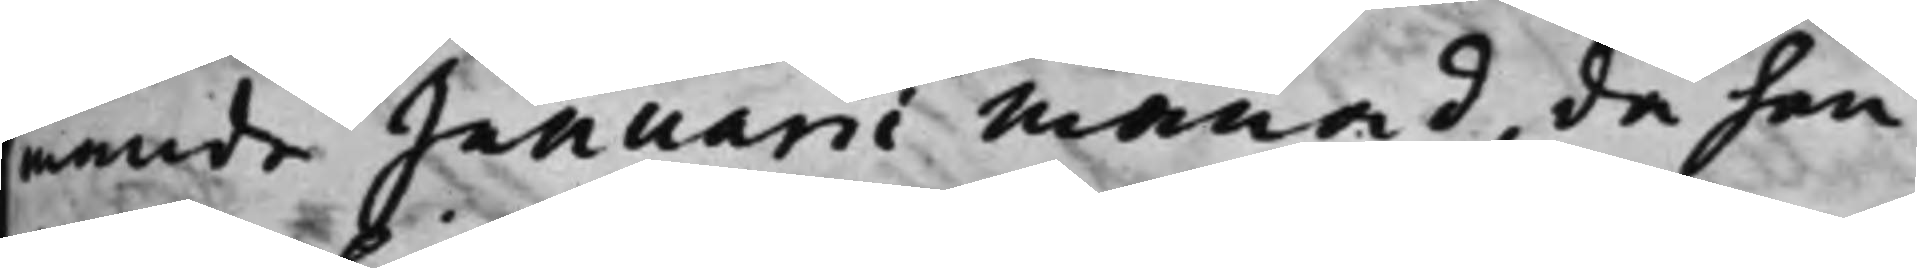mande Januarii månad, då han
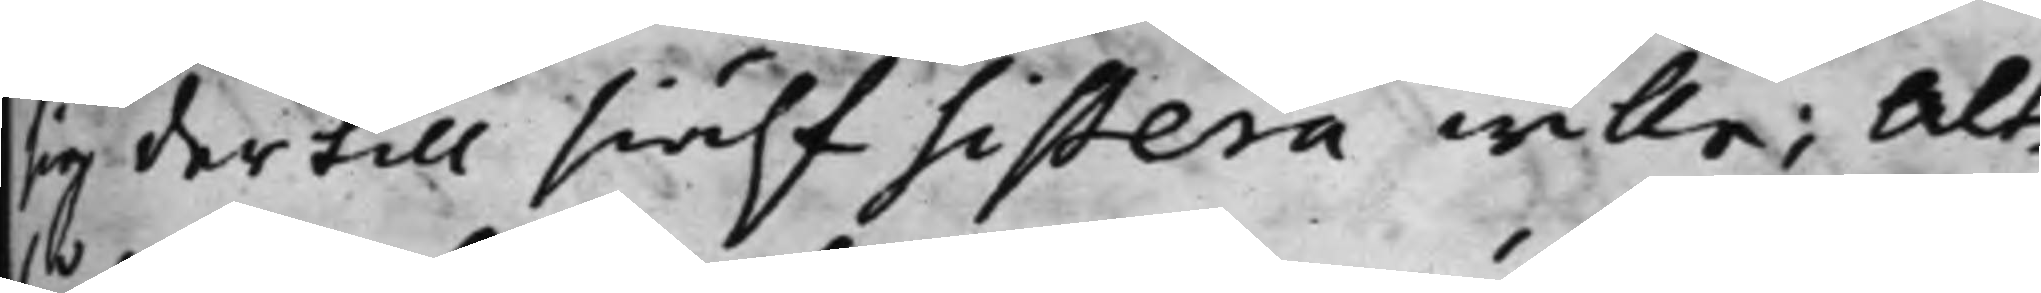sig der till siälf sistera wille; Alt¬
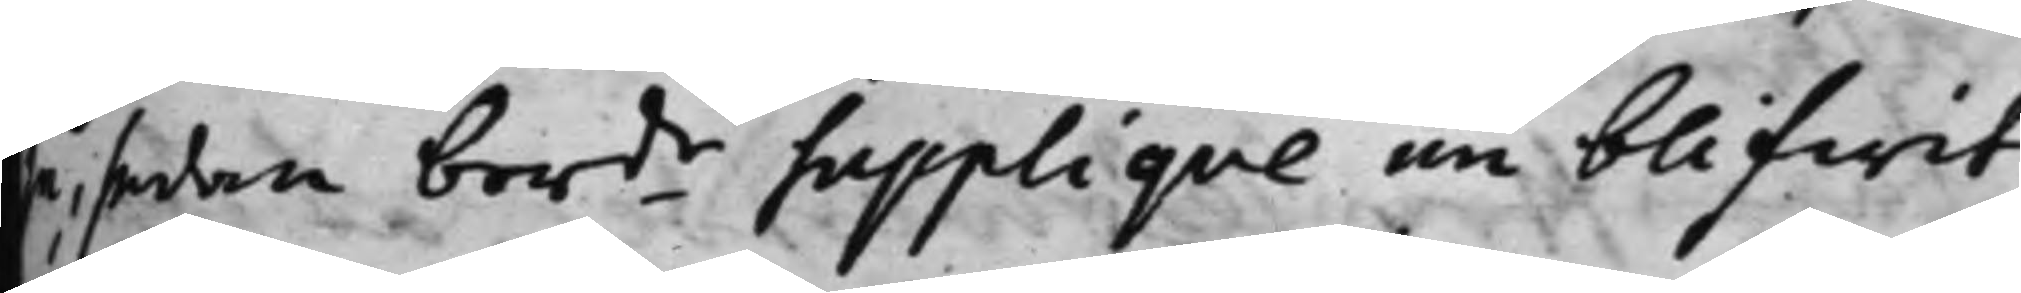så sedan berde Suppliqve nu blifwit
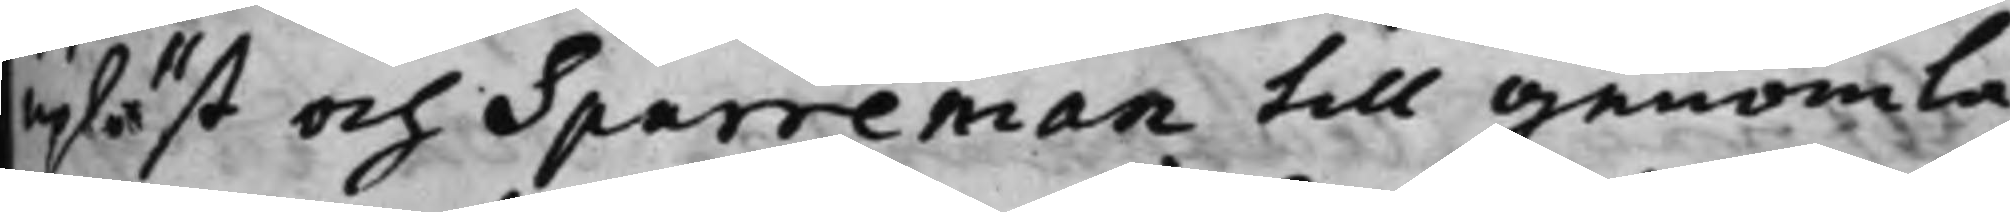upläst och Sparreman till genomlä¬
